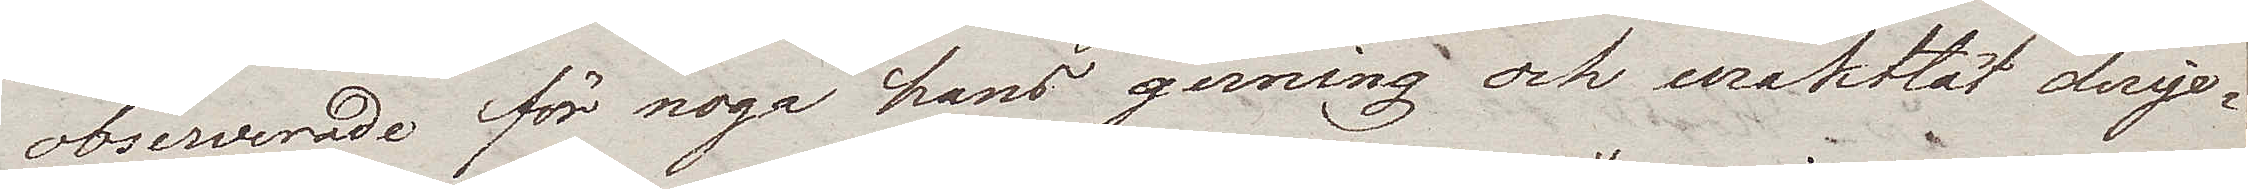observerade för noga hans gerning och uraktlät derige¬
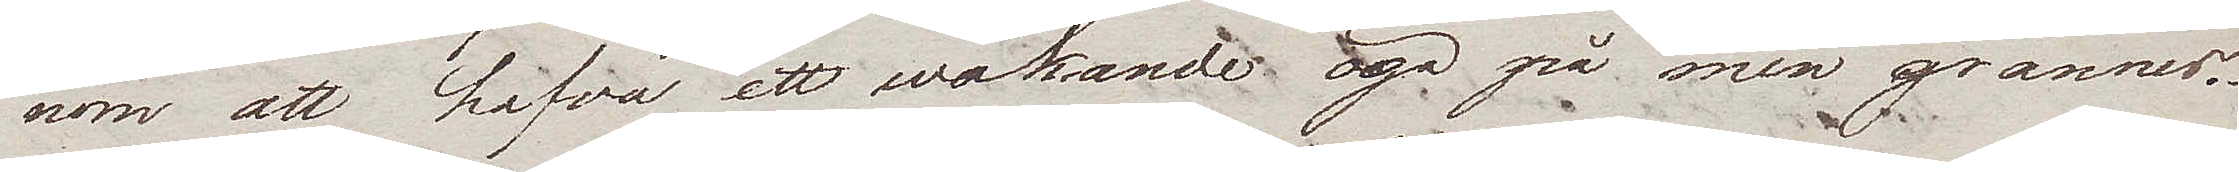nom att hafva ett wakande öga på min grannes.
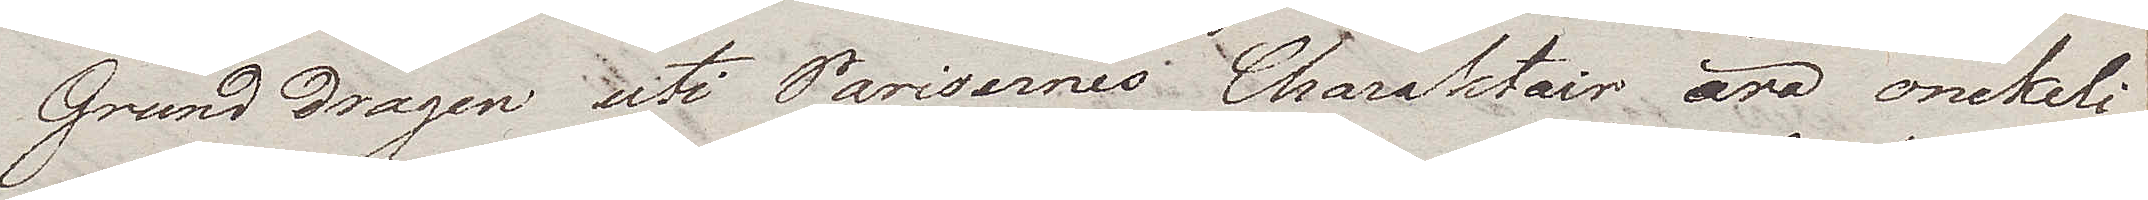Grund dragen uti Parisernes Charaktair äro onekeli¬
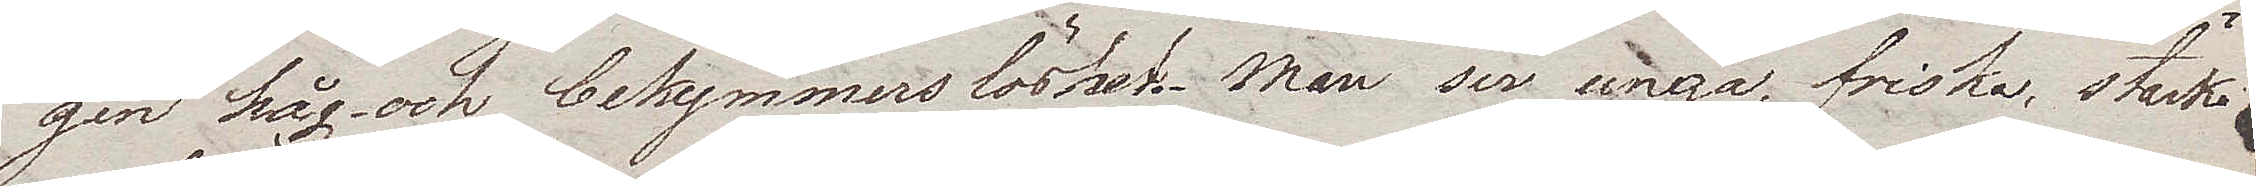gen håg och bekymmerslöshet. Man ser unga, friska, starka
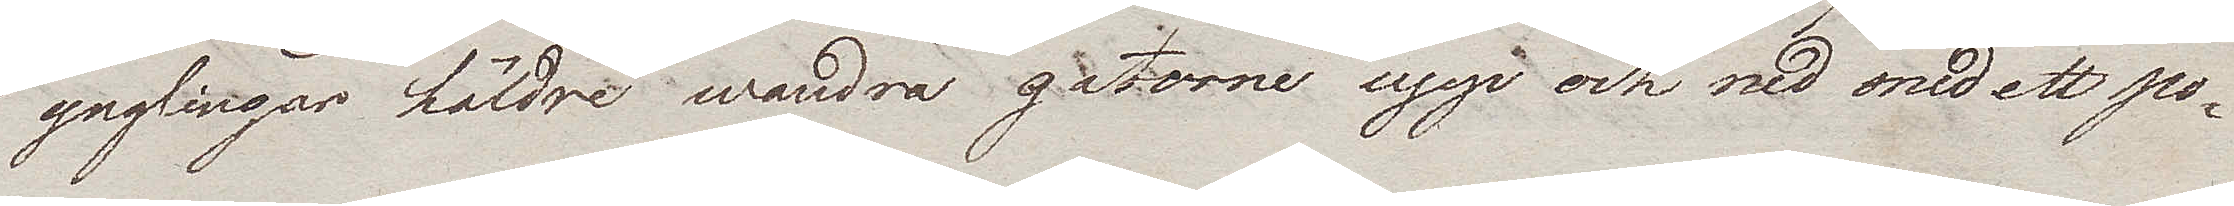ynglingar häldre wandra gatorne upp och ned med ett po¬
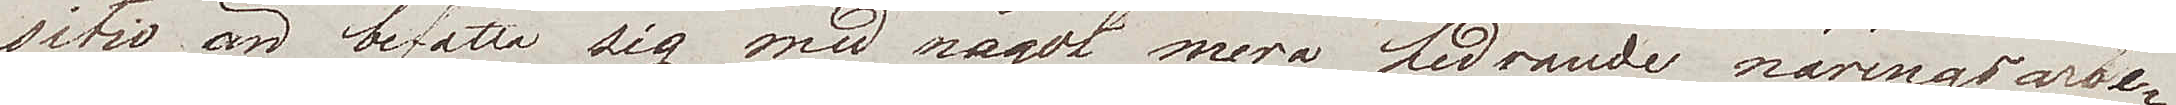sitiv än befatta sig med något mera hedrande näringsarbe¬
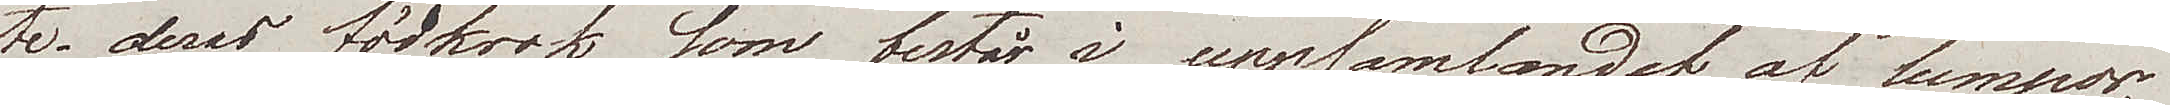te. deras födkrok som består i uppsamlandet af lumpor
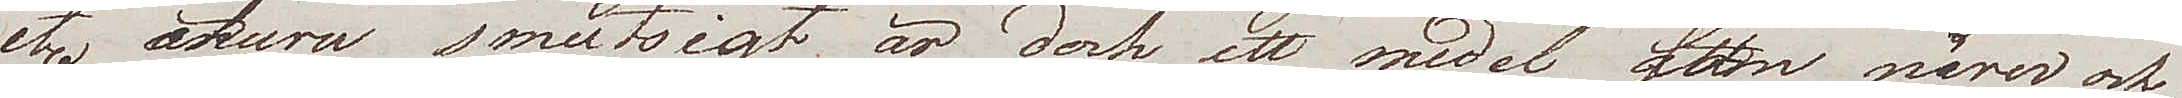etc. ehuru smutsigt, är dock ett medel som närer och
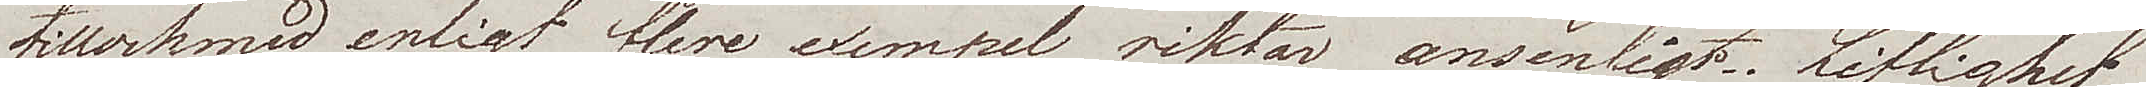tillochmed, enligt flere exempel riktar ansenligt. Liflighet
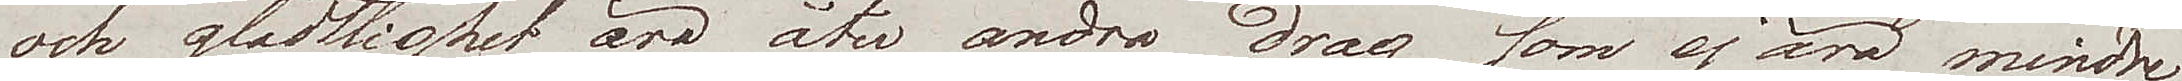och glädttighet äro åter andra drag som ej äro mindre
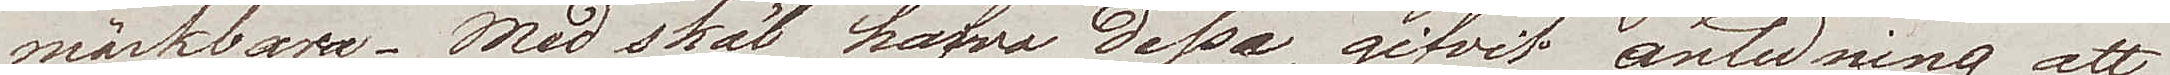märkbara. Med skäl hafva dessa gifvit anledning att 
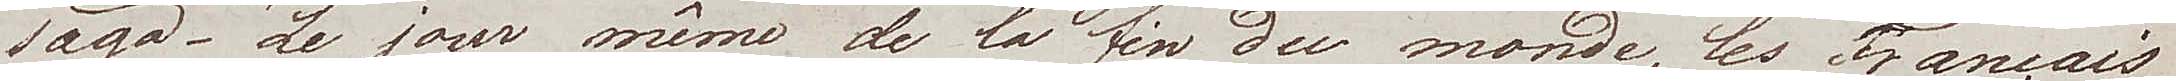säga – "Le jour même de la fin du monde, les Français
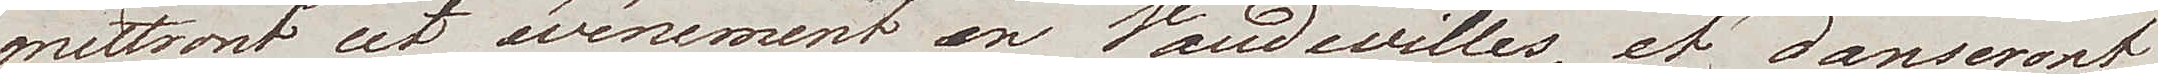mettront cet événement en Vaudevilles, et danseront
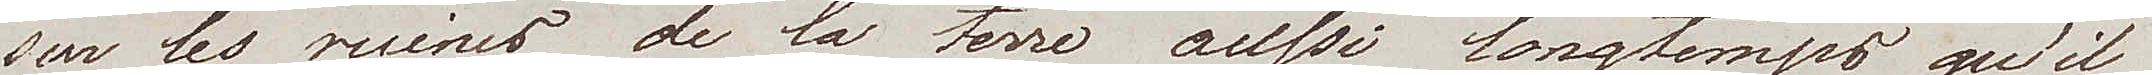sur les ruines de la terre aussi longtemps qu'ils
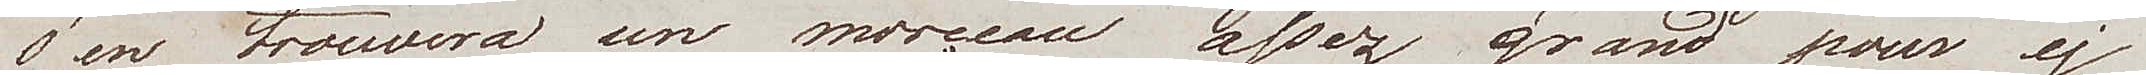 en trouvera un morçeau assez grand pour y 
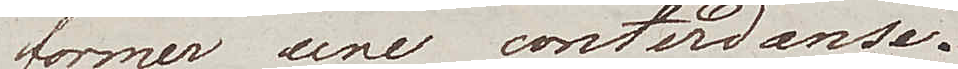former une contredance."
